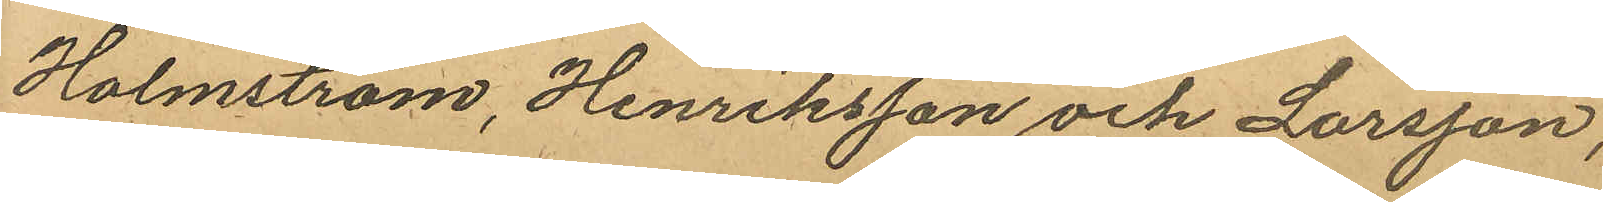Holmström, Henriksson och Larsson,
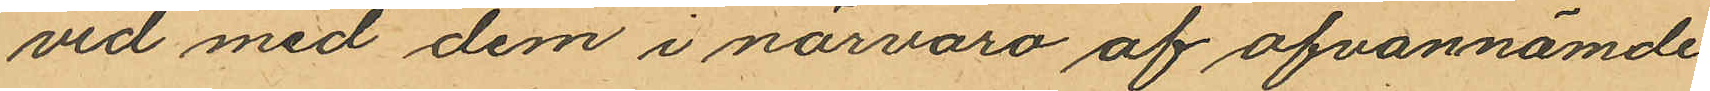vid med dem i närvaro af ofvannämde
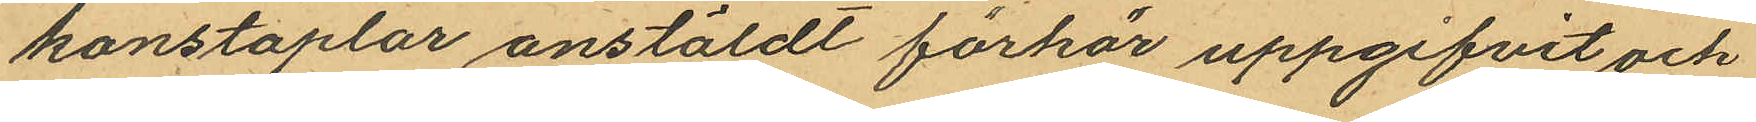konstaplar anstäldt förhör uppgifvit och
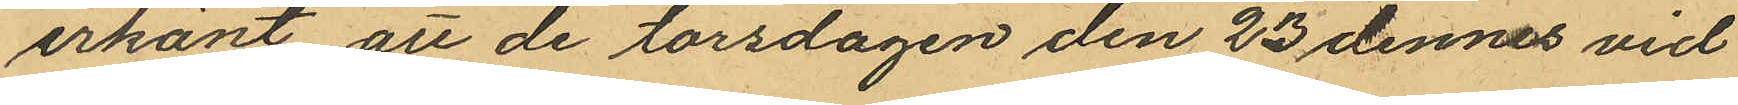erkänt, att de torsdagen den 23 dennes vid
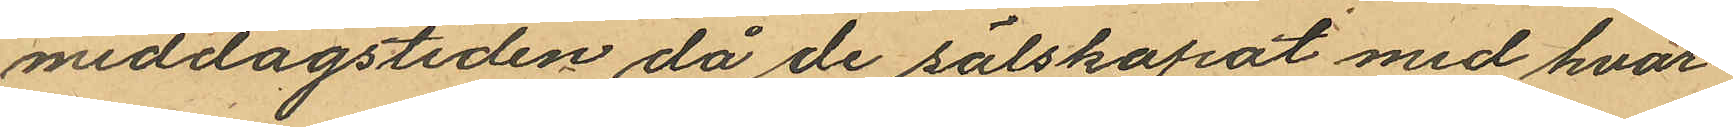middagstiden, då de sälskapat med hvar¬
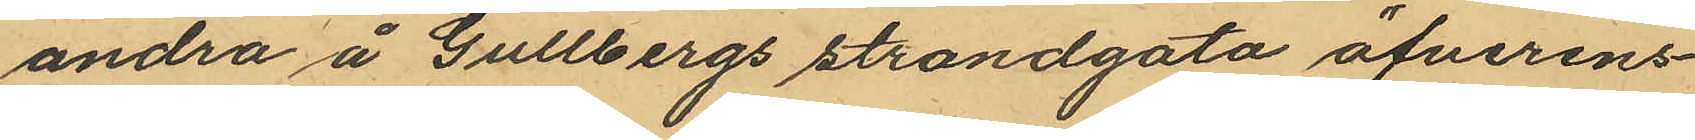andra å Gullbergs strandgata öfverens¬
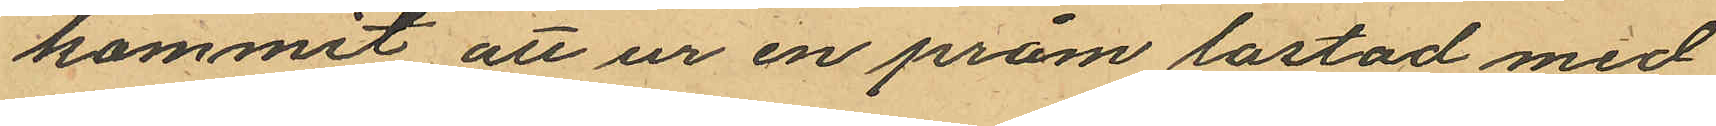kommit att ur en pråm lastad med
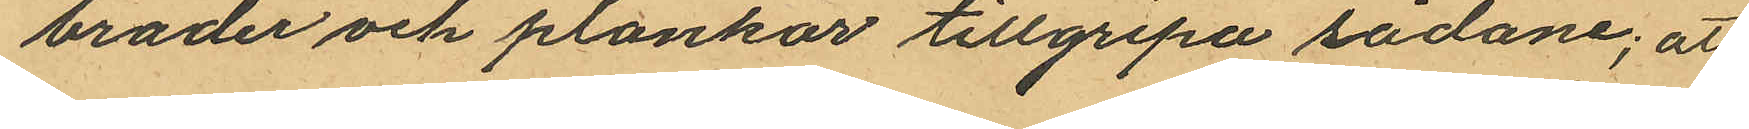bräder och plankor tillgripa sådane; att
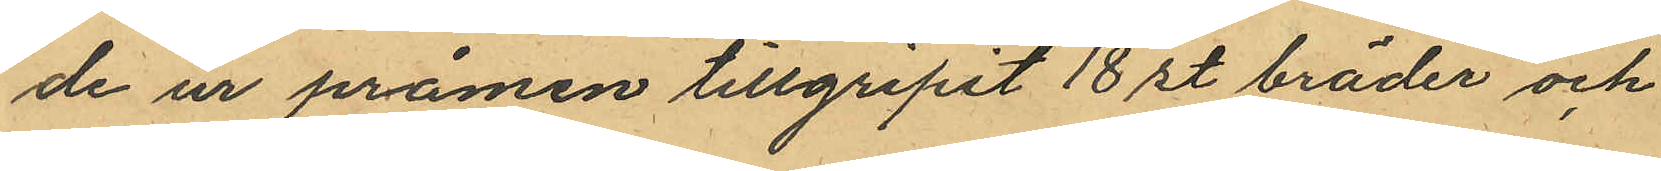de ur pråmen tillgripit 18 st bräder och
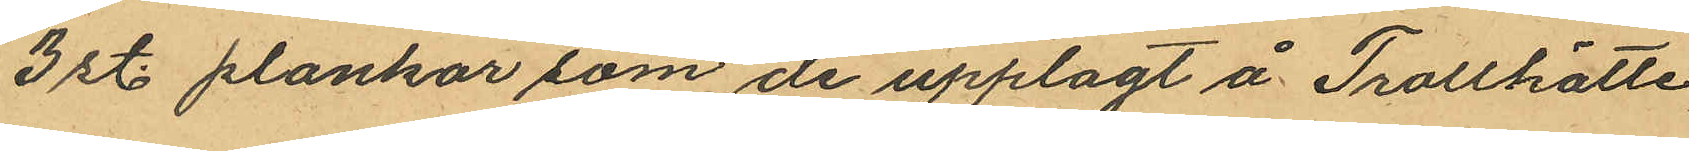3 st plankor som de upplagt å Trollhätte
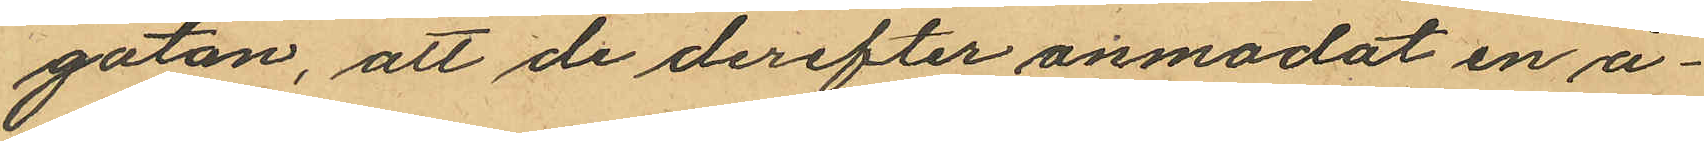gatan, att de derefter anmodat en å¬
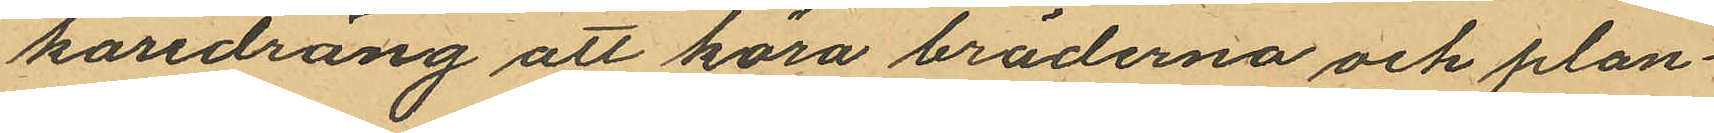karedräng att köra bröderna och plan¬
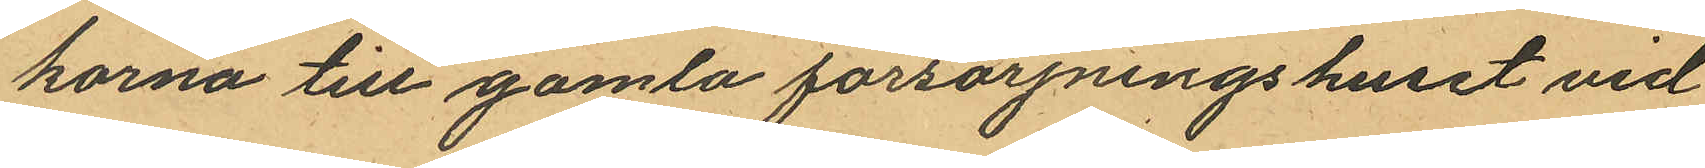korna till gamla försörjningshuset vid
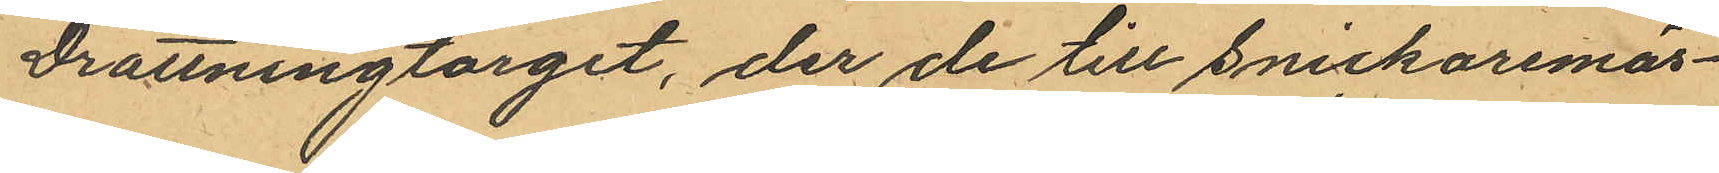Drottningtorget, der de till Snickaremäs¬
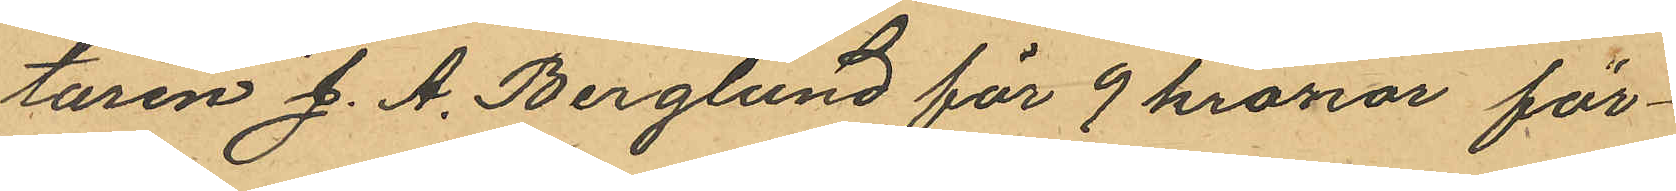taren J. A. Berglund för 9 kronor för¬
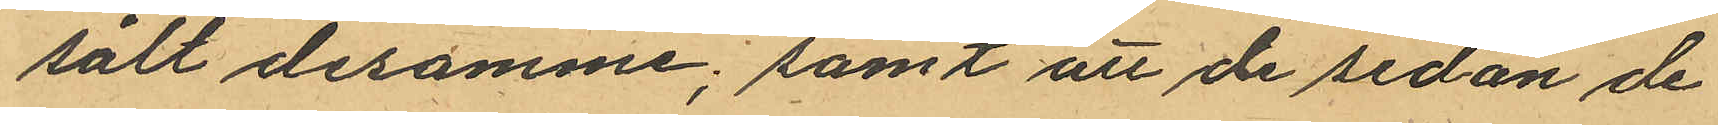sålt desamme; samt att de sedan de
